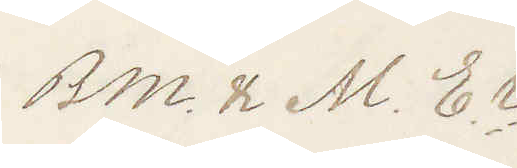Bm. & M. Er
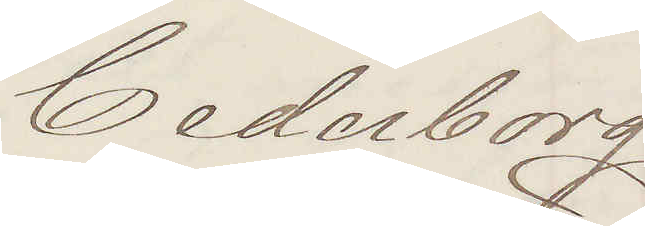Cederborg
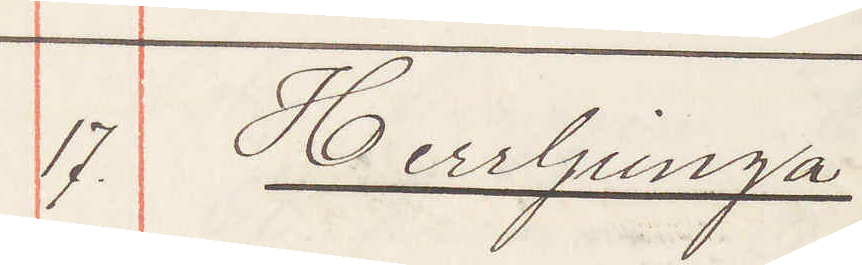17. Herrljunga:
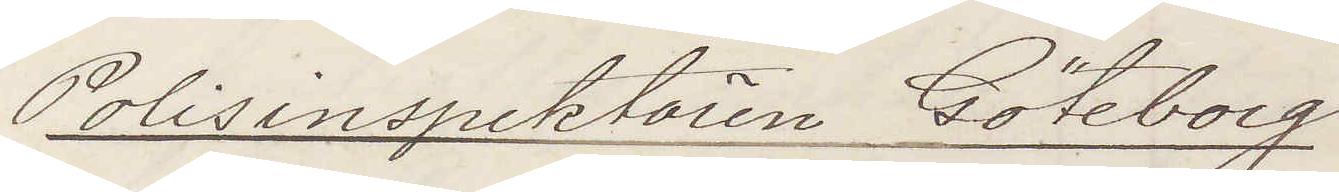Polisinspektören Göteborg
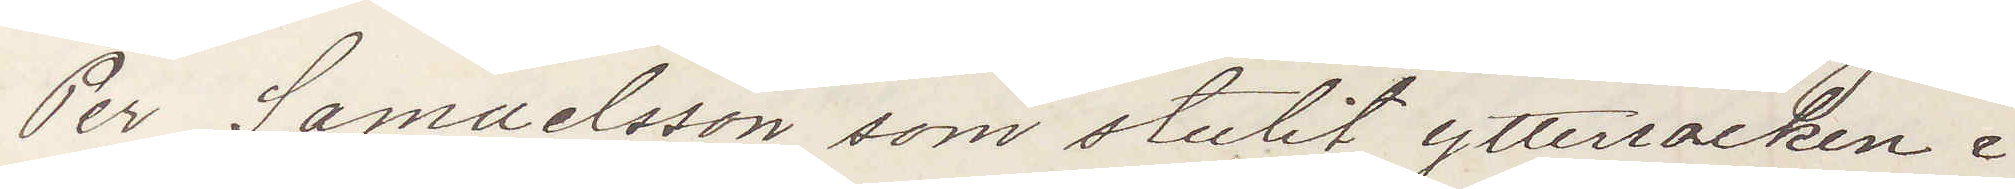Per Samuelsson som stulit ytterrocken i
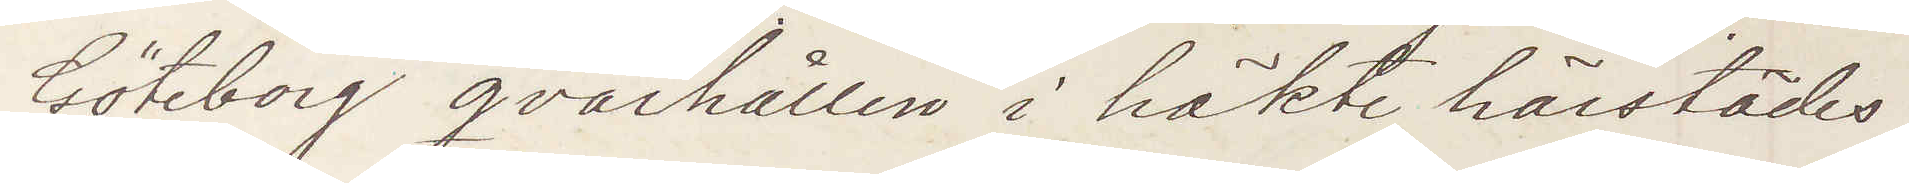Göteborg qvarhållen i häkte härstädes.
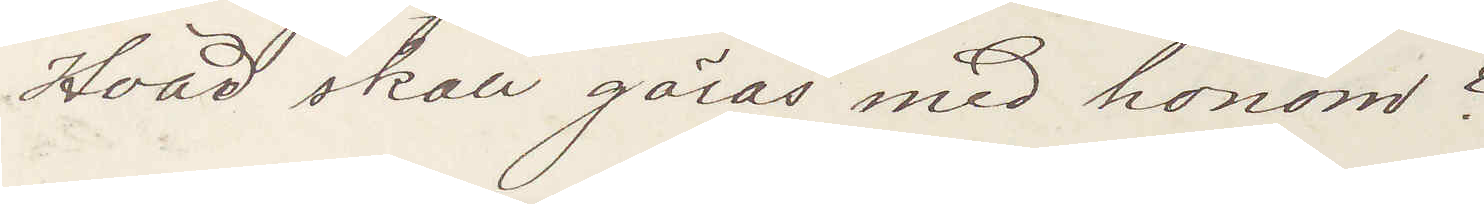Hvad skall göras med honom?
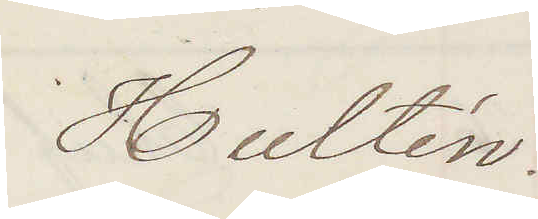Hultén
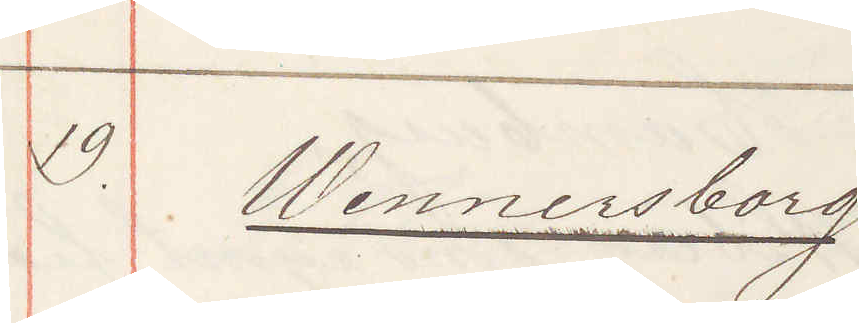19. Wennersborg
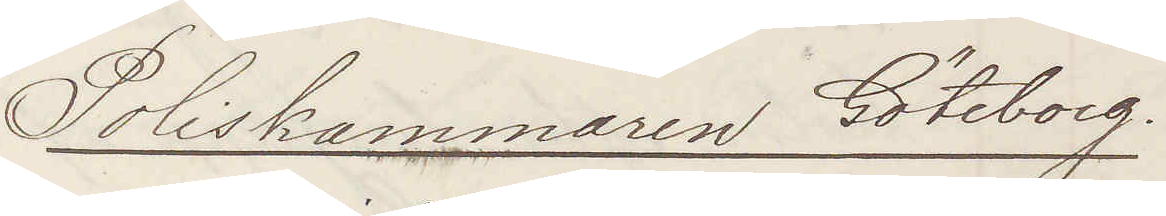Poliskammaren Göteborg.
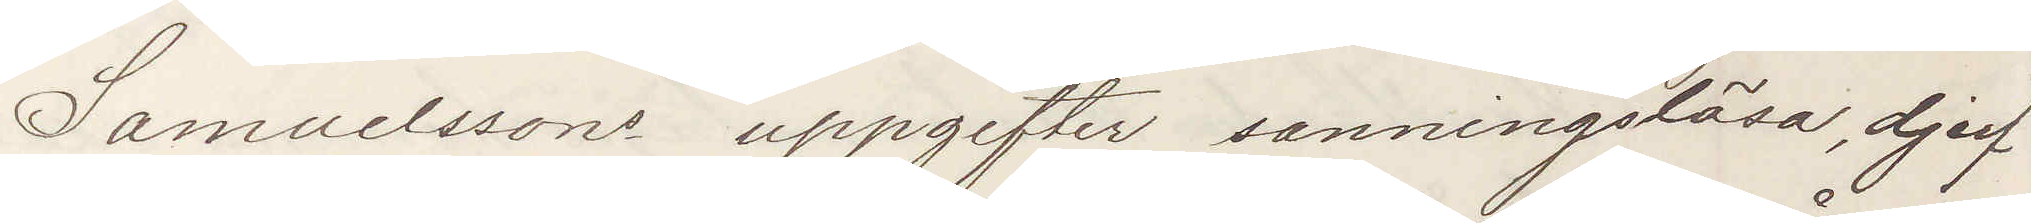Samuelssons uppgifter sanningslösa, djerf
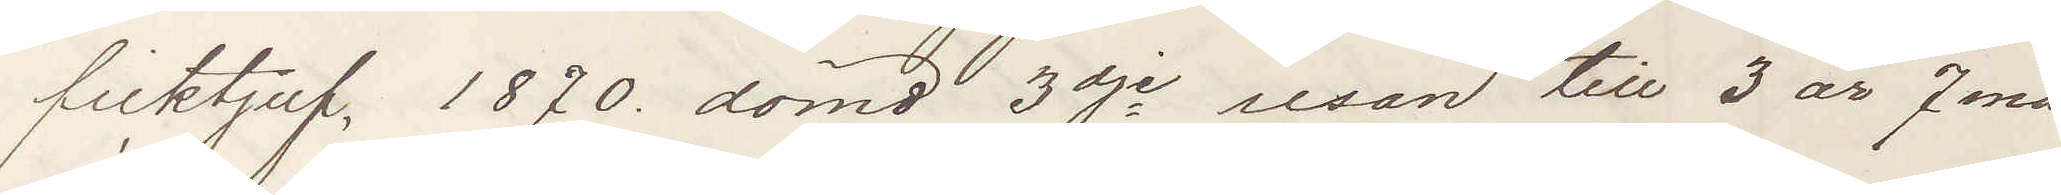ficktjuf, 1870 dömd 3dje resan till 3 år 7 må¬
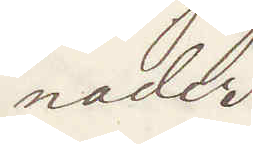nader.
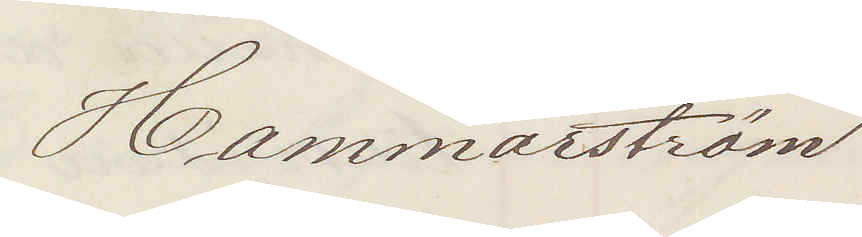Hammarström
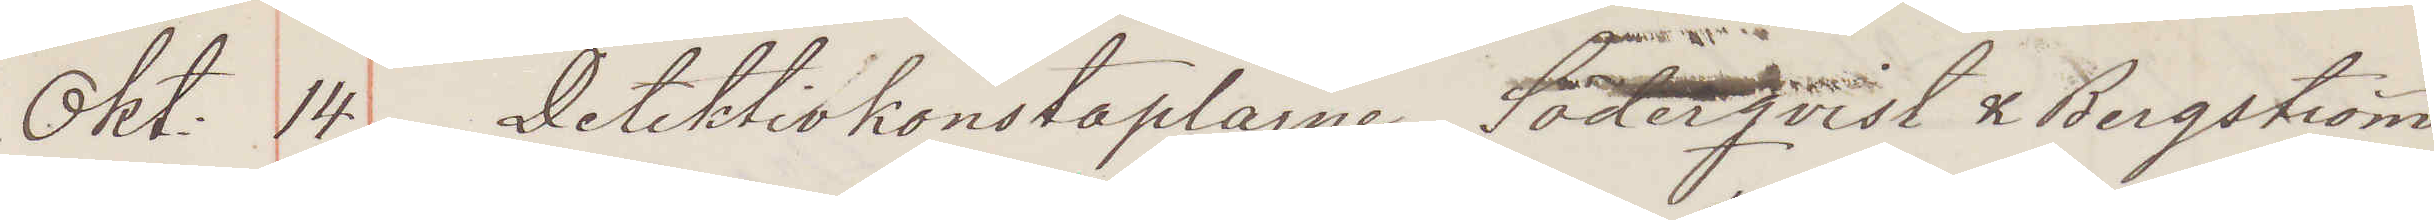Okt: 14. Detektivkonstaplarne Söderqvist & Bergström
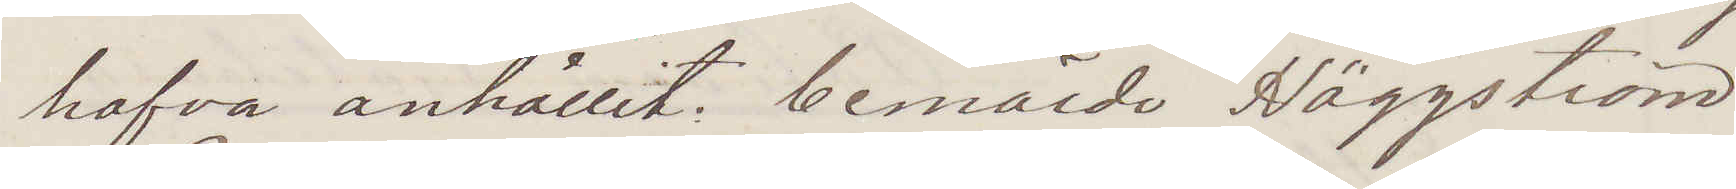hafva anhållit: bemälde Häggström:
